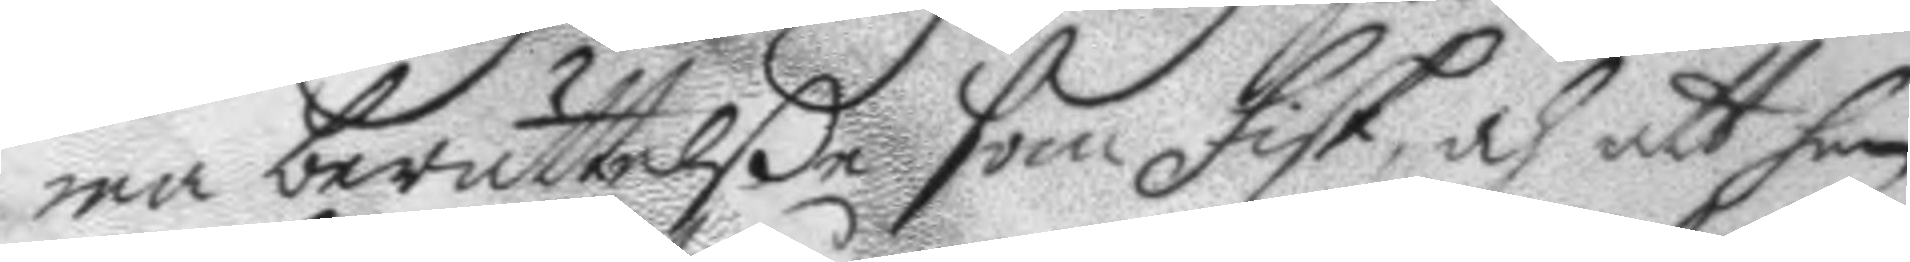ma berättelße som fisk, och att han
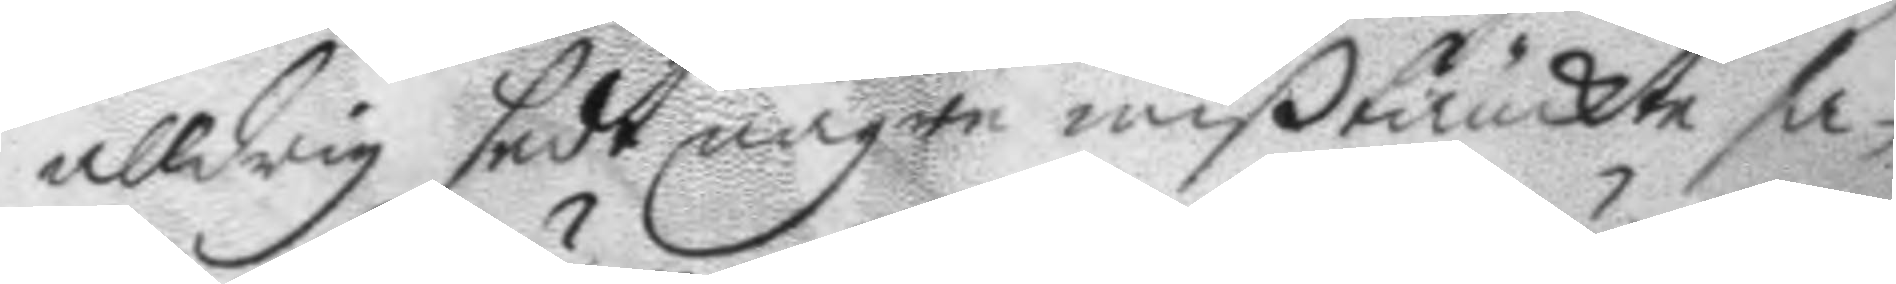alldrig sedt någre mißtänckte sa¬
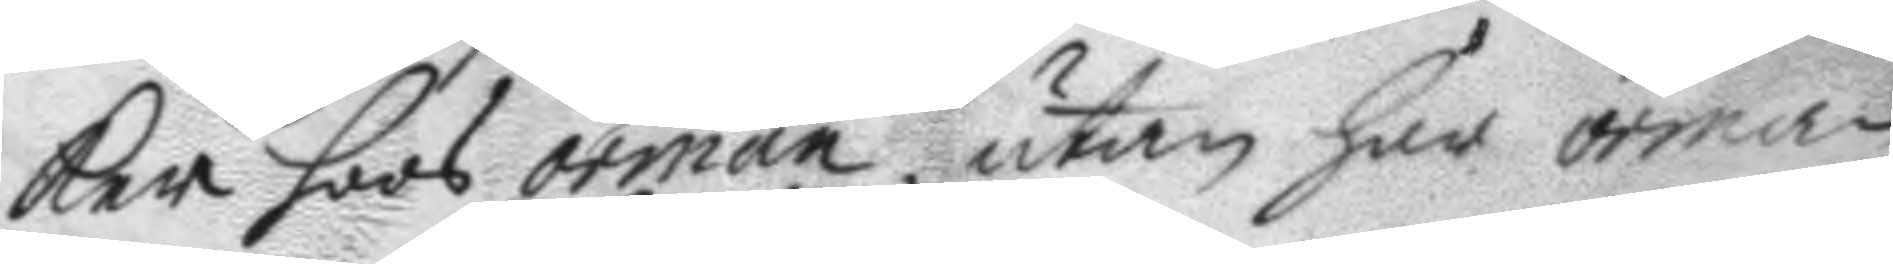ker hoos örman, utan har örman
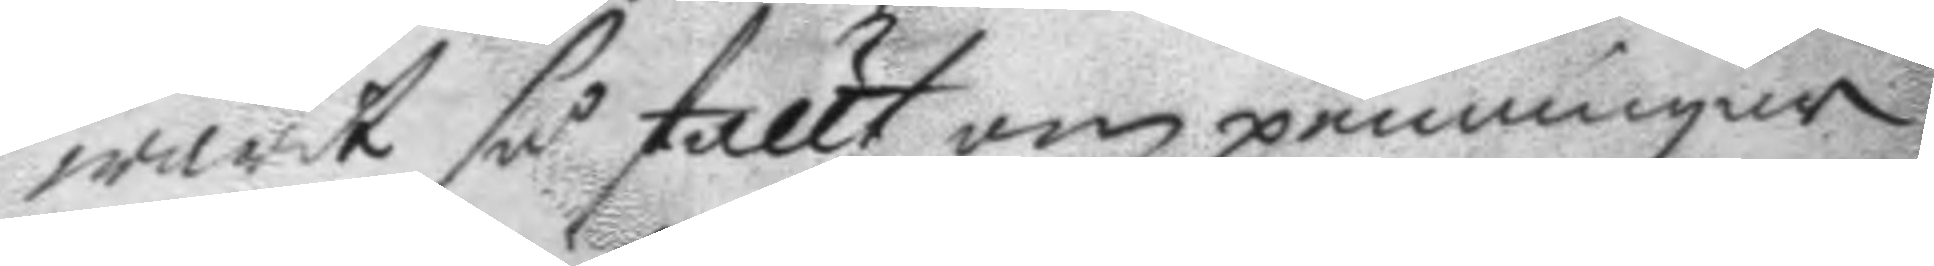warit så ställt om penningar
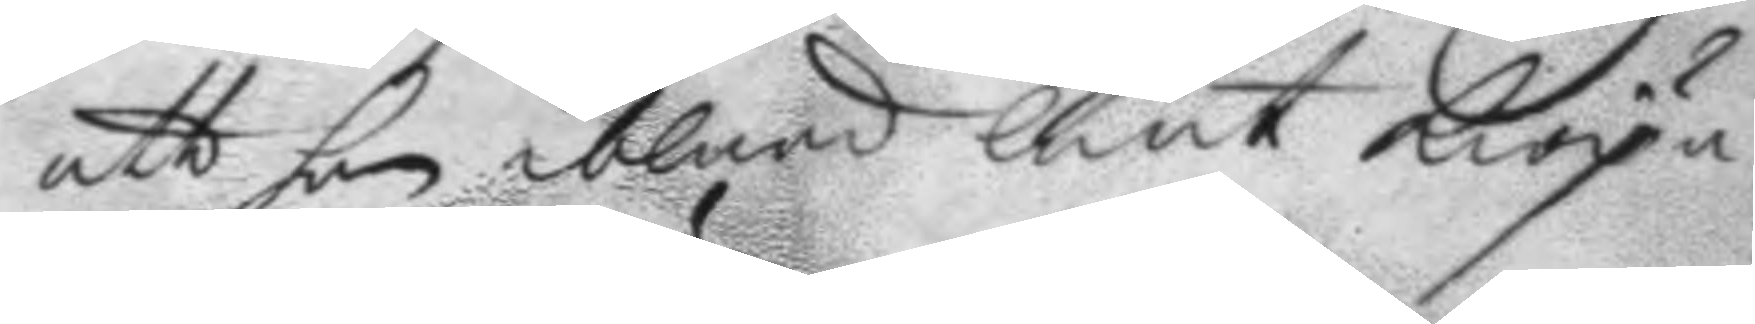att han ibland lånt kiöpa
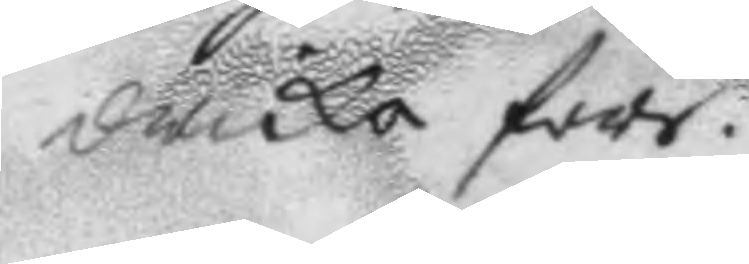dricka före.
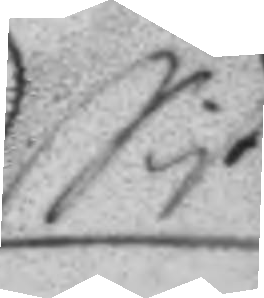Sist
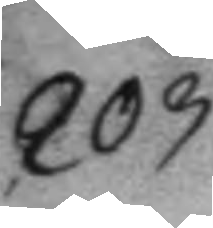203.
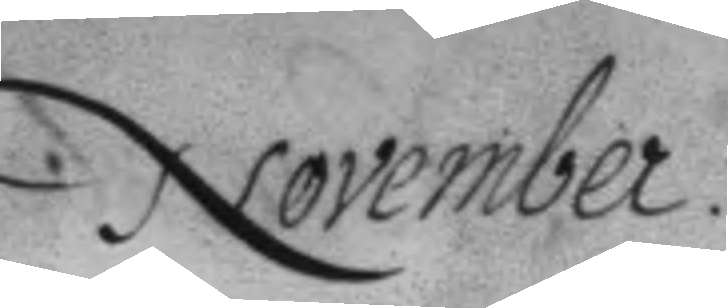November
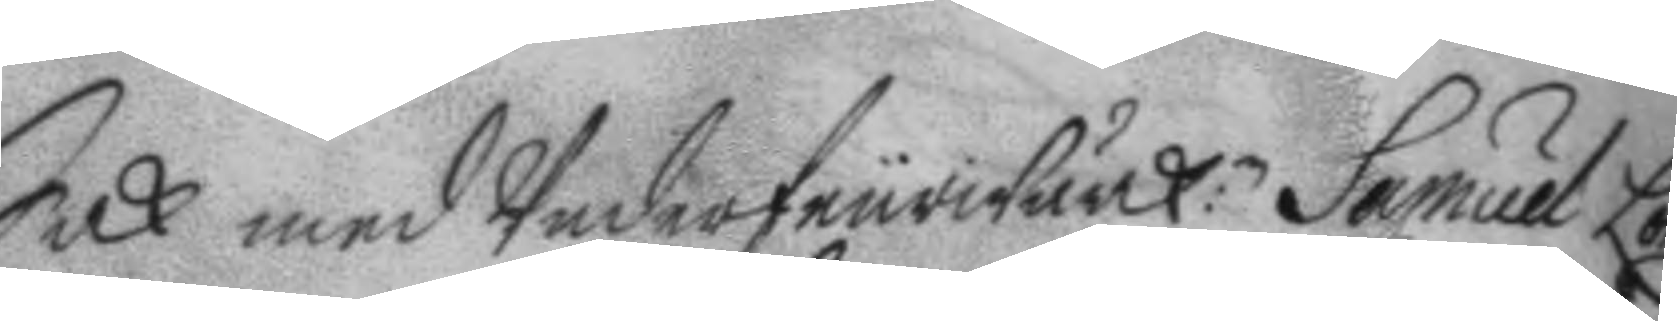Sak med Underfeurwärk:n Samuel Lön¬
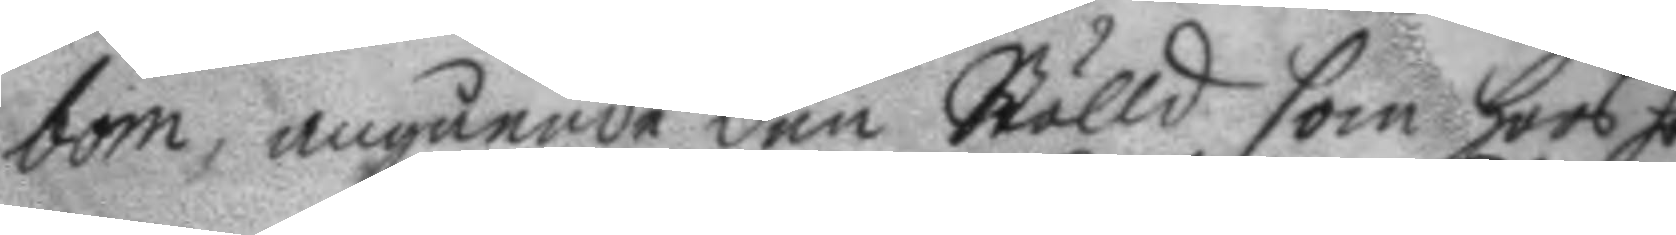bom, angående den Stölld som hoos ho¬
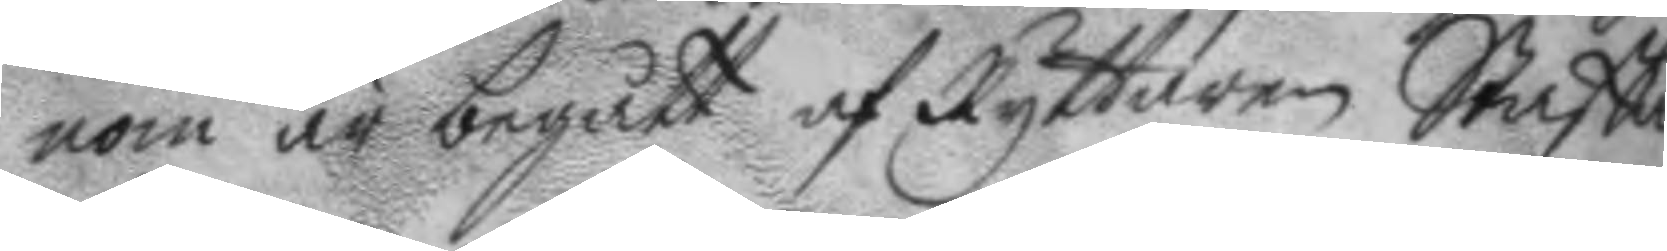nom är begått af Ryttaren Staffan
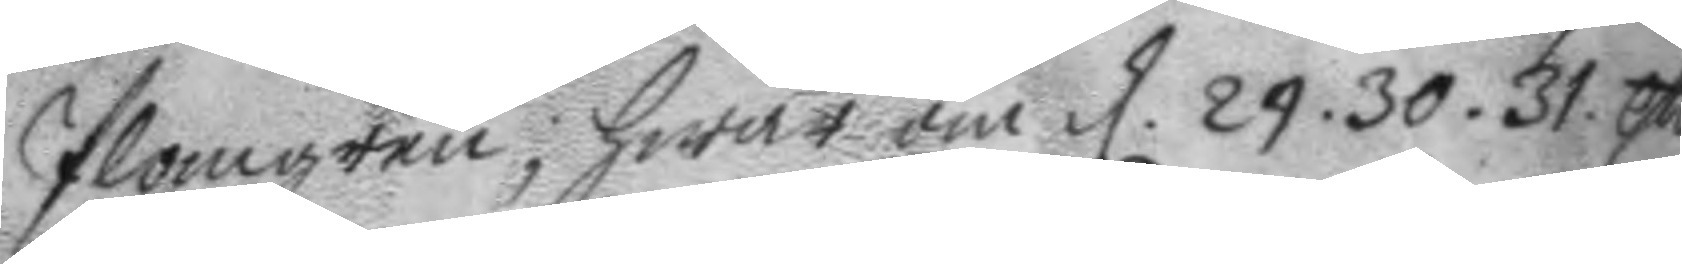Plomgren; hwar om d. 29. 30. 31. Aug.
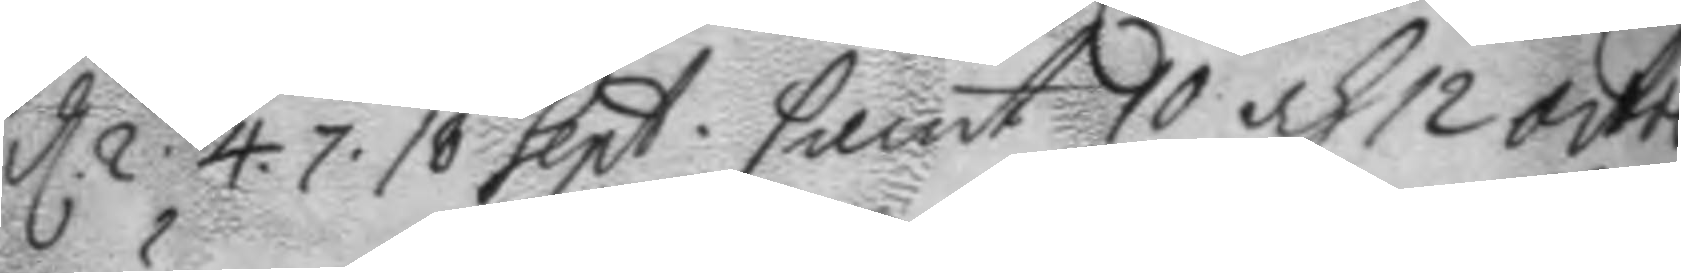d. 2. 4. 7. 18 Sept. samt 10 och 12 octob.
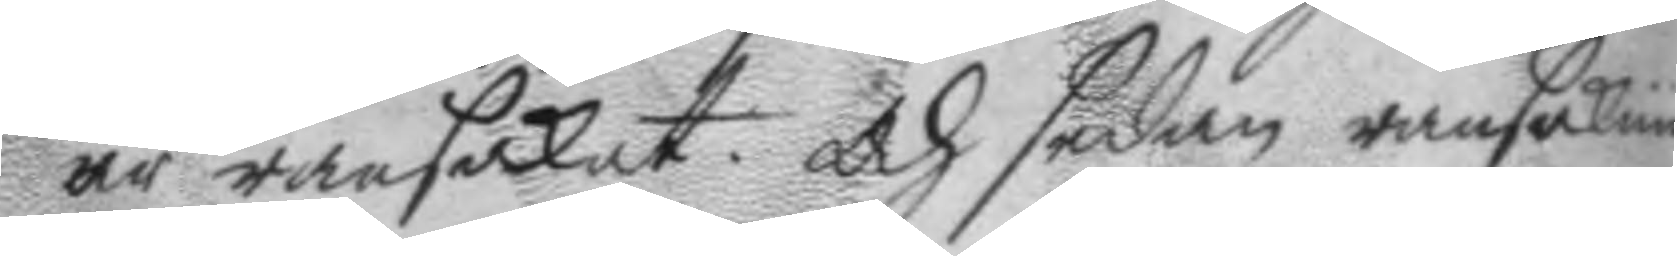är ransakat. och sedan ransaknin¬
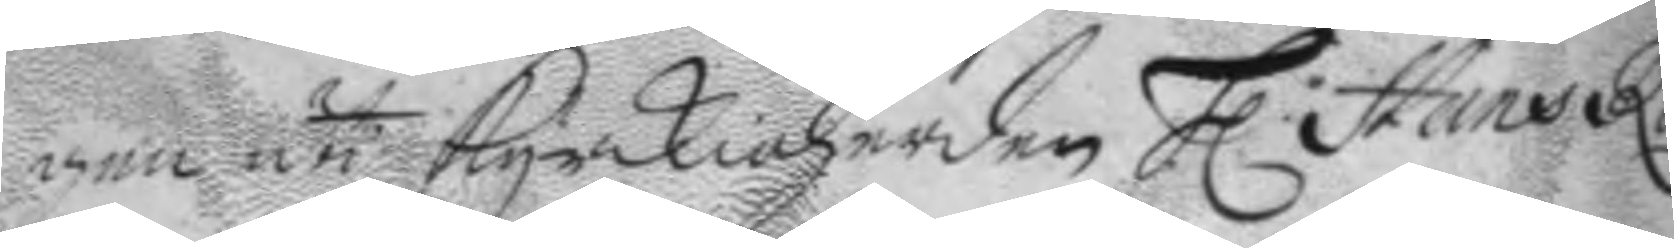gen uti kyrkioherden h. Hans Ron¬
